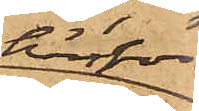härför
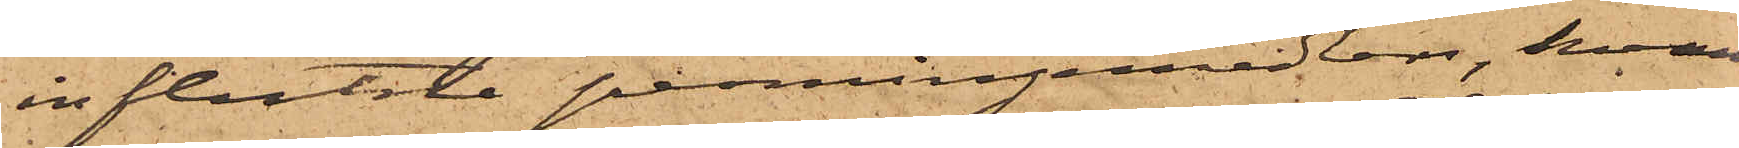influtne penningemedler, hvaraf
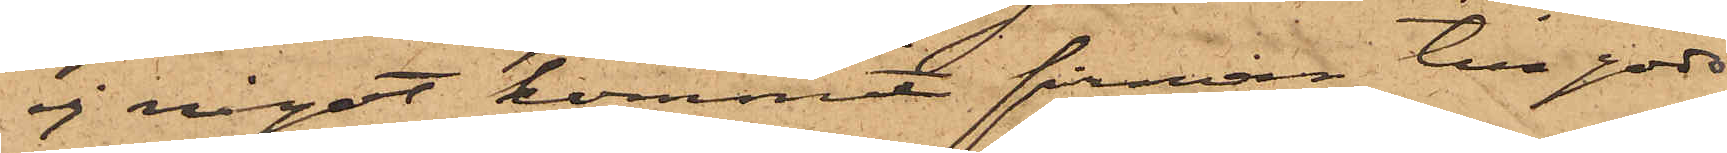ej något kommit firman till godo,
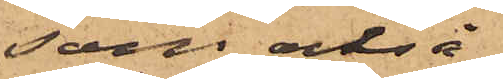som också
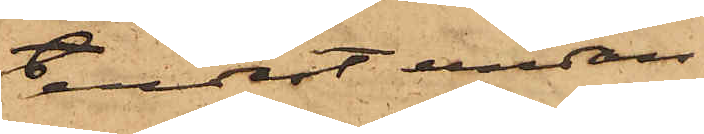endast undan¬
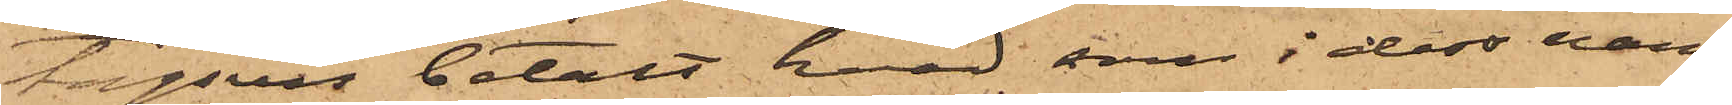tagsvis betalt hvad som i dess namn
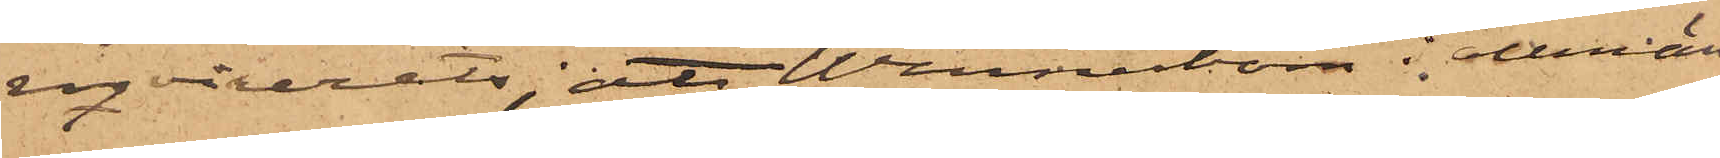reqvirerats; att Wennerbom i allmän¬
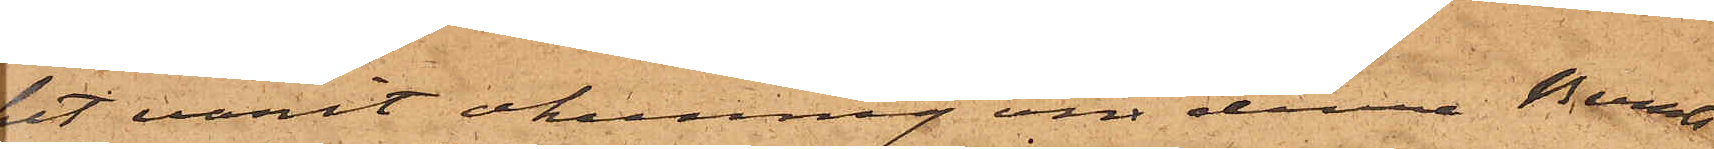het varit okunnig om denna Bernts¬
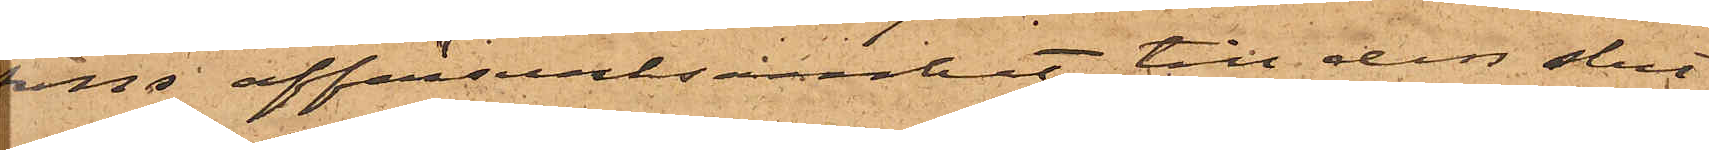sons affärsverksamhet, till dess slut¬
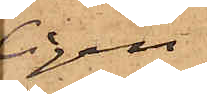ligen
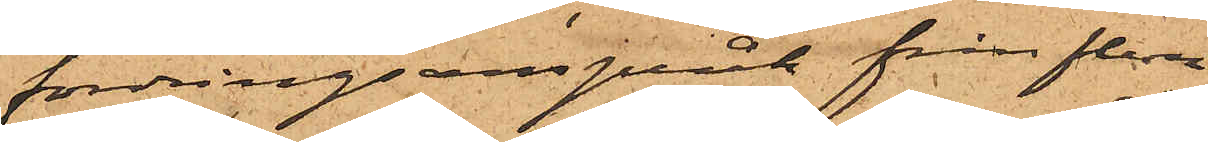fordringsanspråk från flera
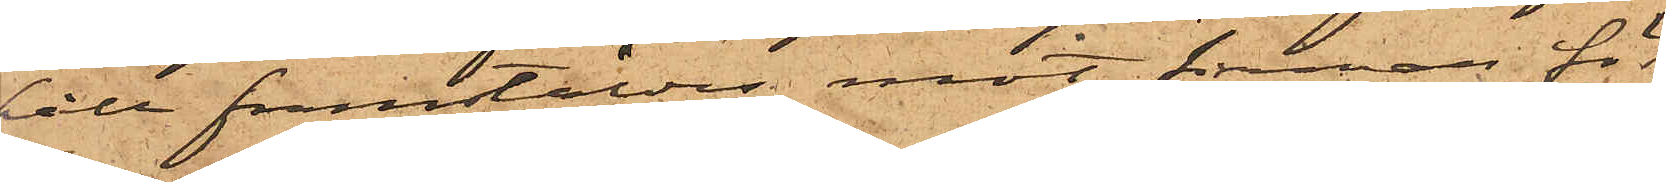håll framstäldes mot firman för
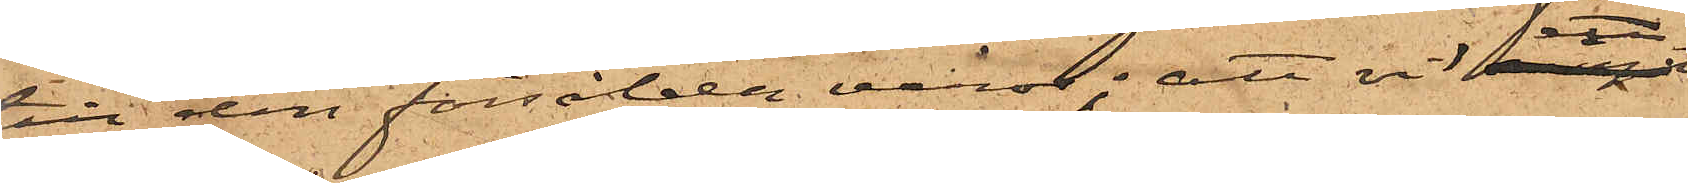till den försålda varor; att vid ett
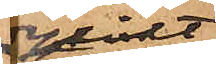dylikt
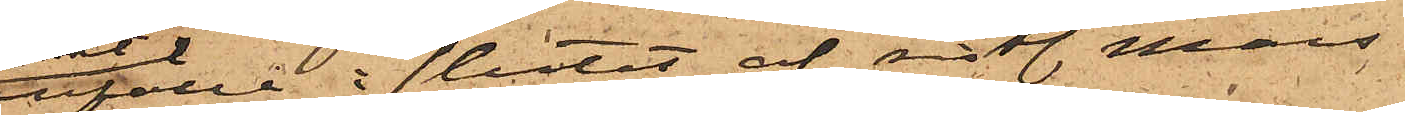tillfälle i slutet af sistl. Mars
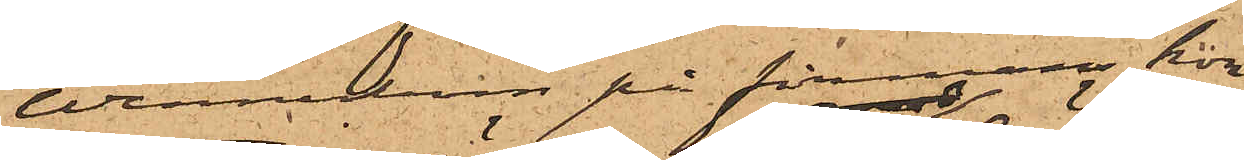Wennerbom på firmans kon¬
